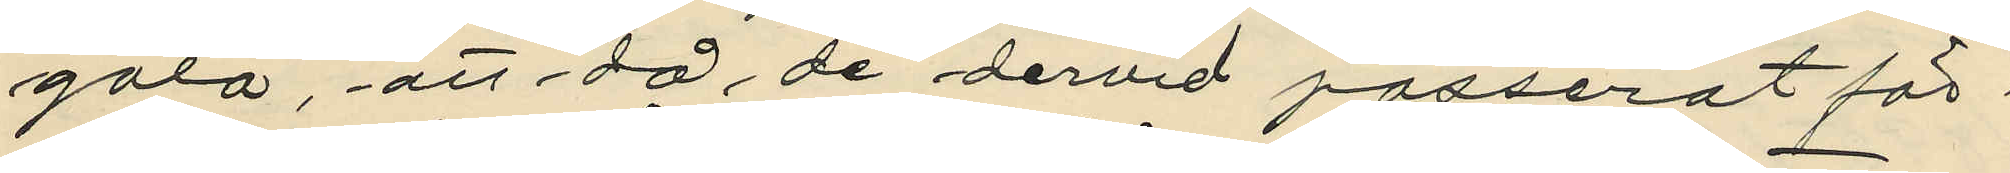gata, att då de dervid passerat för¬
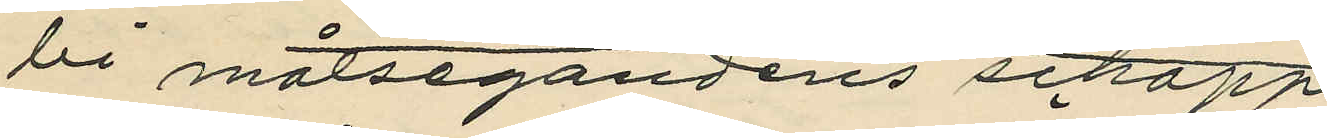bi målsegandens schapp
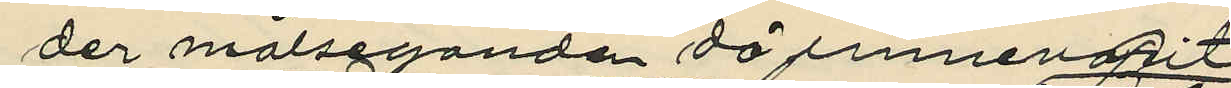der målseganden då innevarit, 
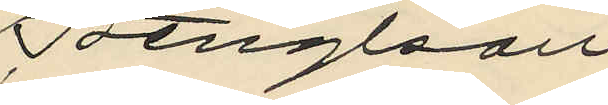Bengtson
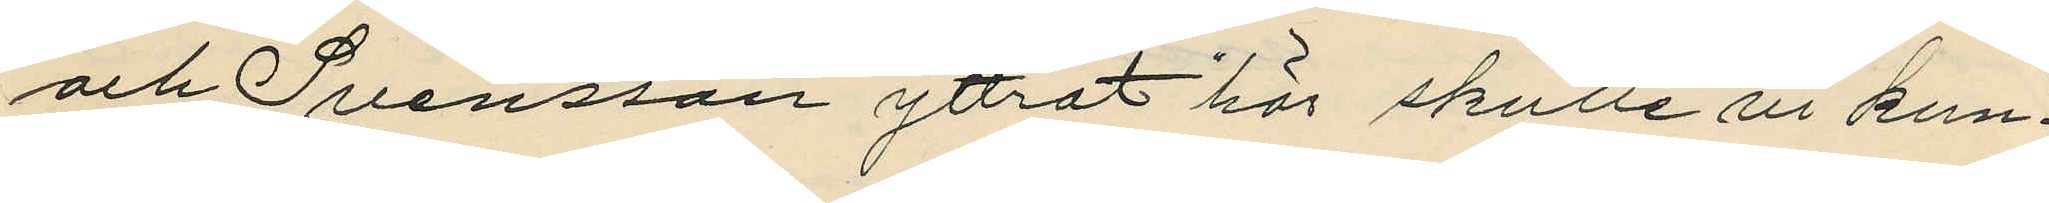och Svensson yttrat "här skulle vi kun¬
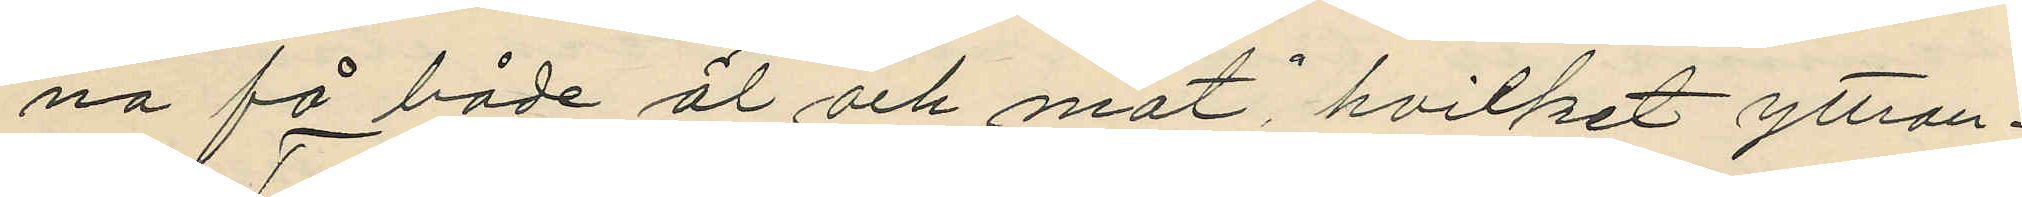na få både öl och mat", hvilket yttran¬
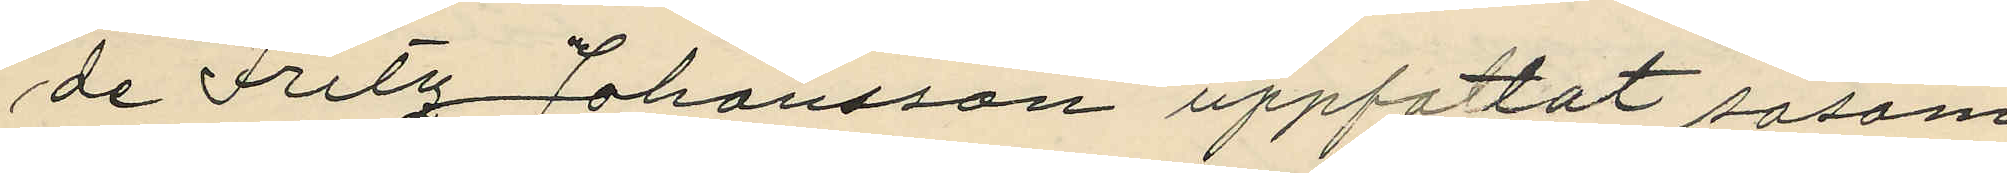de Fritz Johansson uppfattat såsom
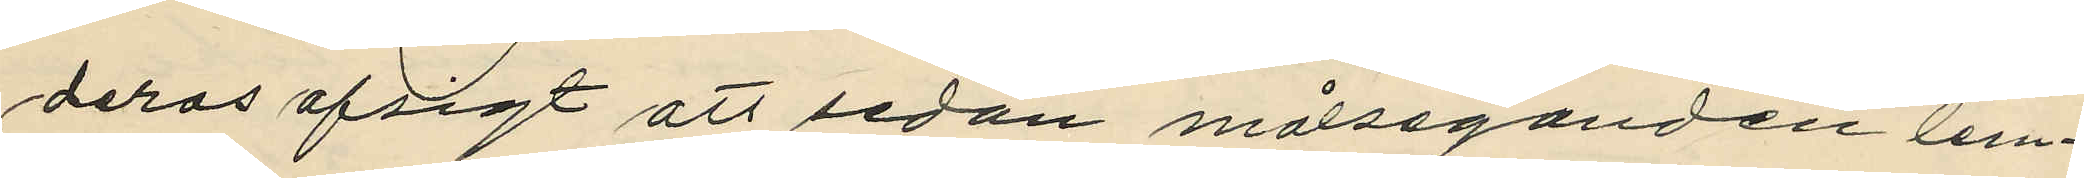deras afsigt att sedan målseganden lem¬
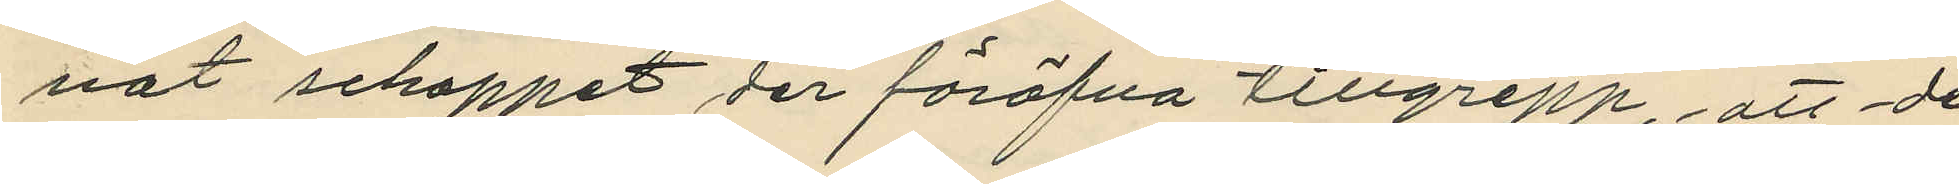nat schappet der föröfva tillgrepp, att de
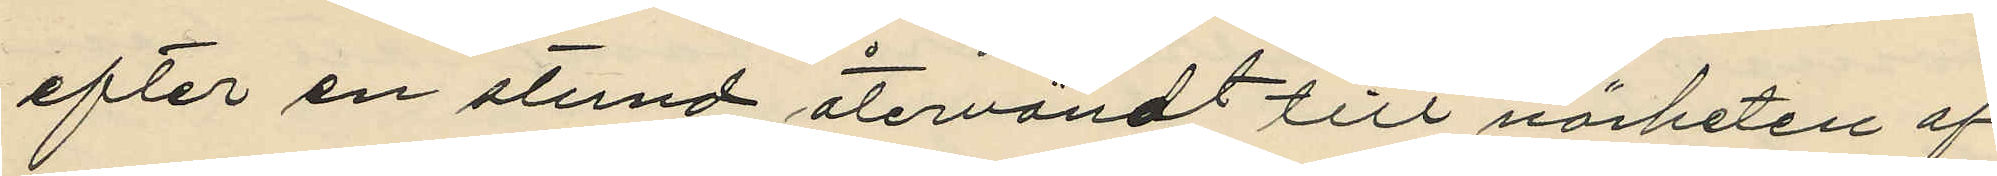efter en stund återvändt till närheten af
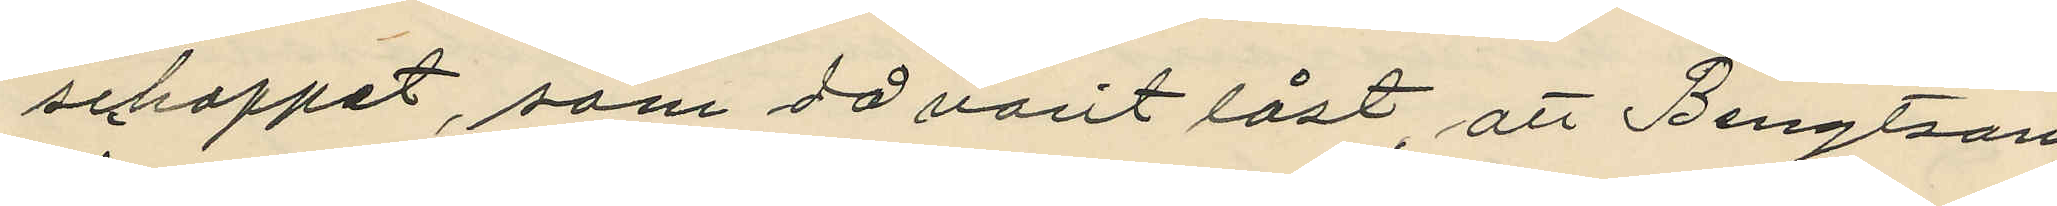schappet, som då varit låst, att Bengtson
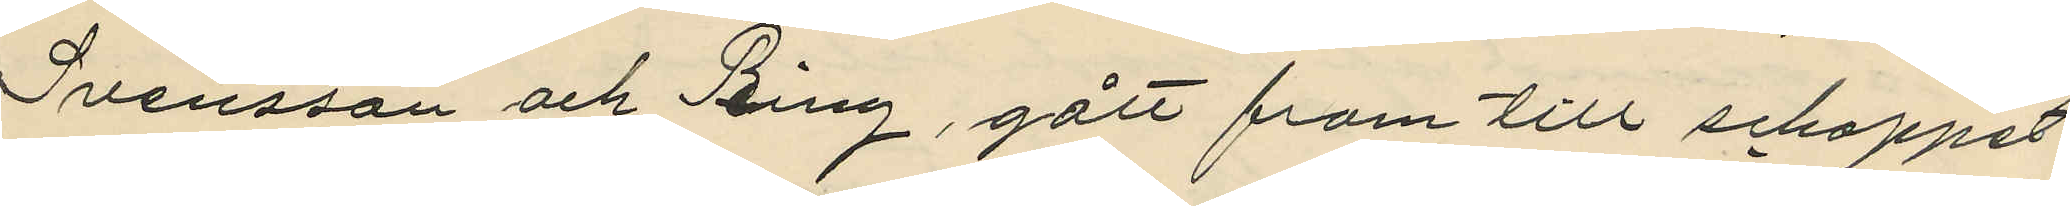Svensson och Ring, gått fram till schappet
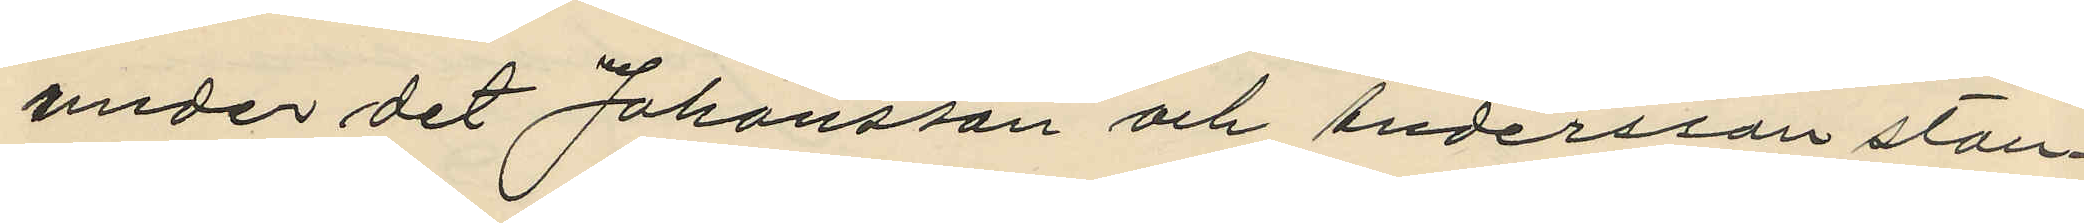under det Johansson och Andersson stan¬
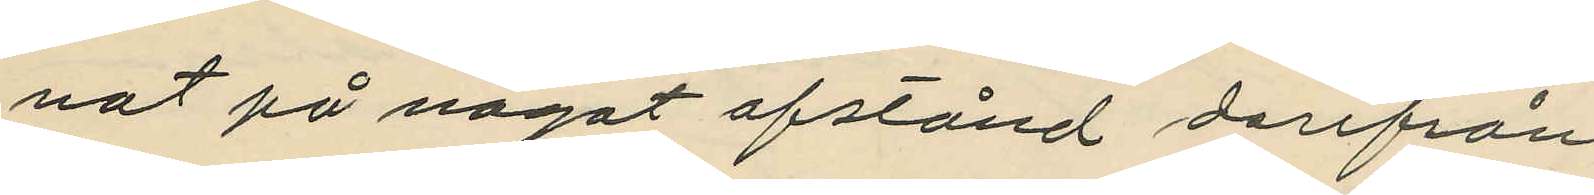nat på något afstånd derifrån,
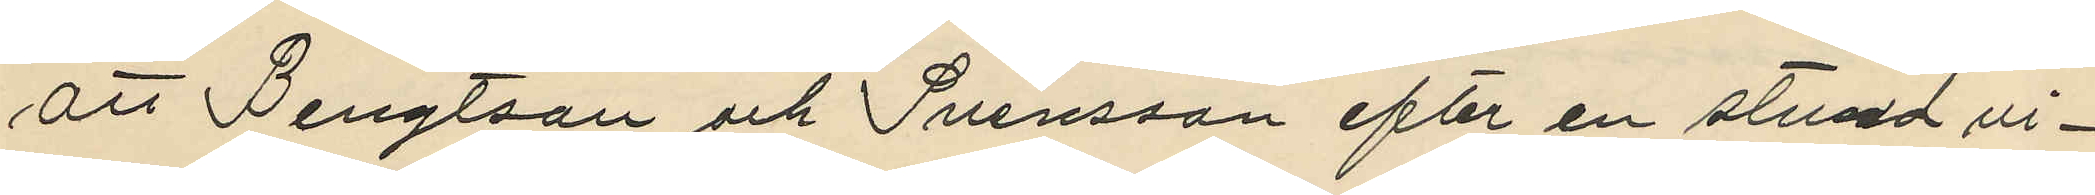att Bengtson och Svensson efter en stund vi¬
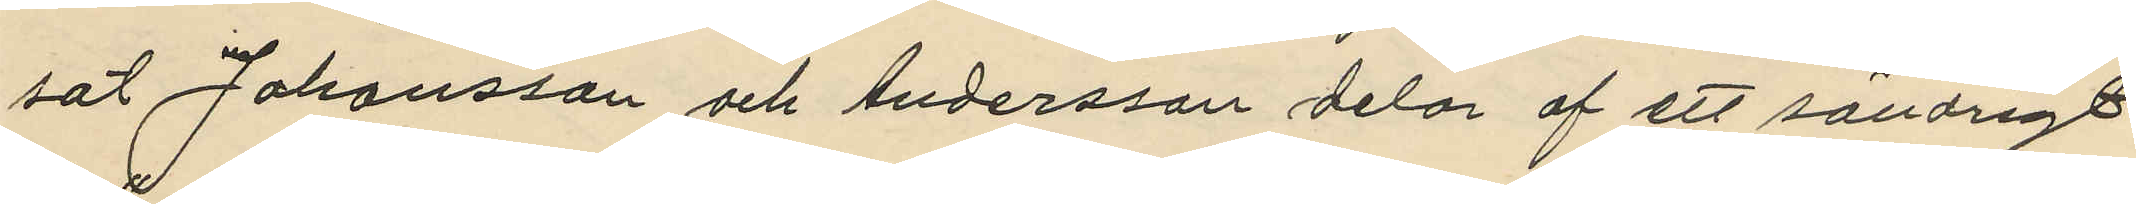sat Johansson och Andersson delar af ett söndrigt
